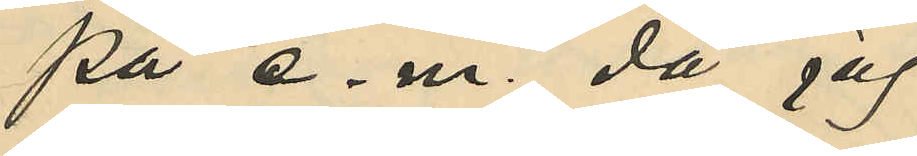på e.m. då jag
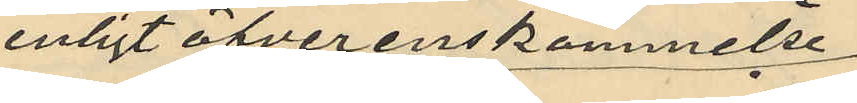enligt öfverenskommelse
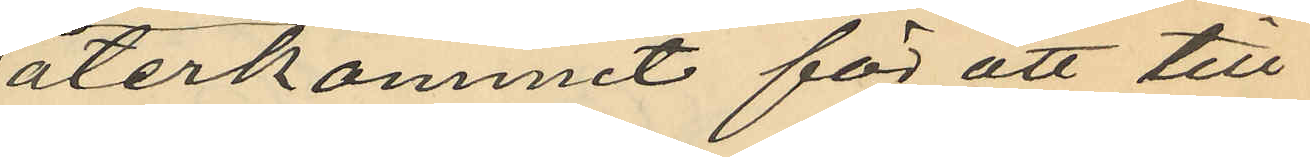återkommit för att till¬
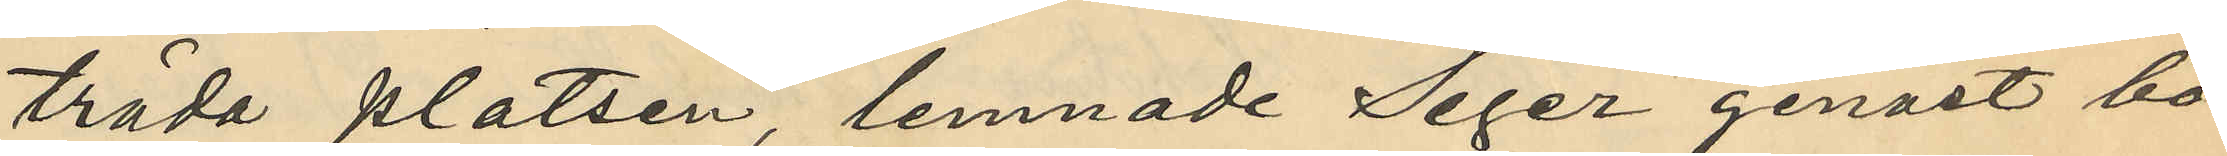träda platsen, lemnade Seger genast bo¬
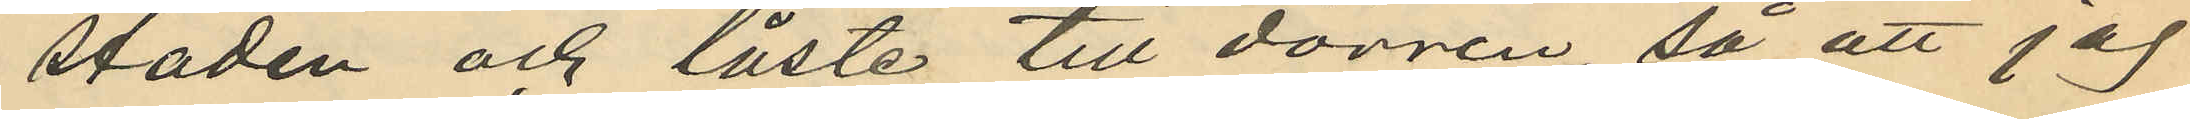staden och låste till dörren, så att jag
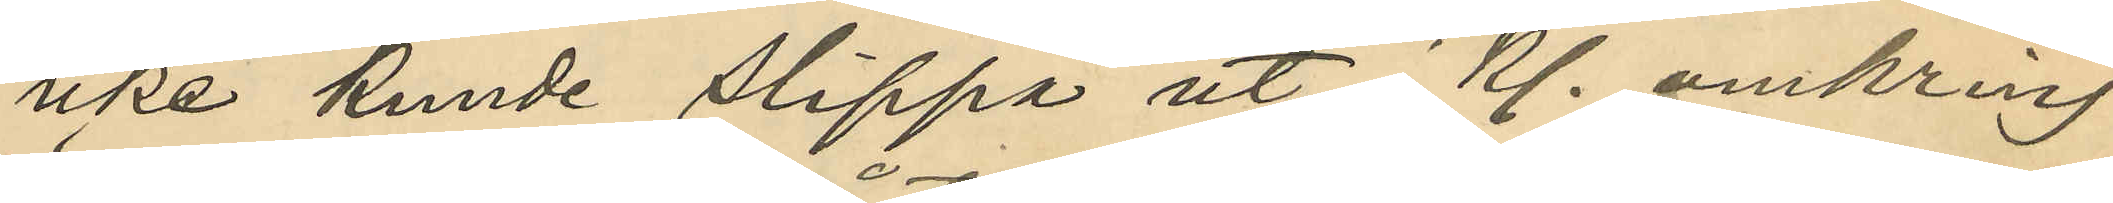icke kunde slippa ut Kl. omkring
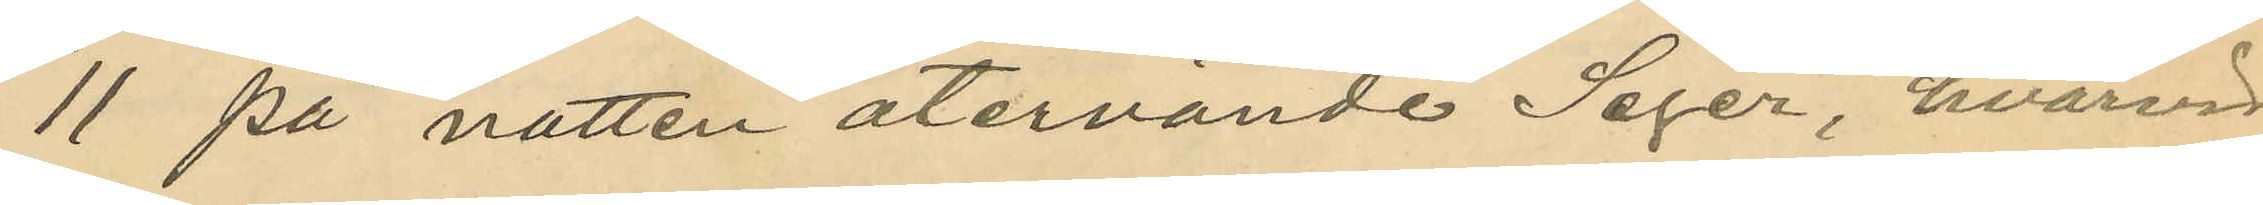11 på natten återvände Seger, hvarvid
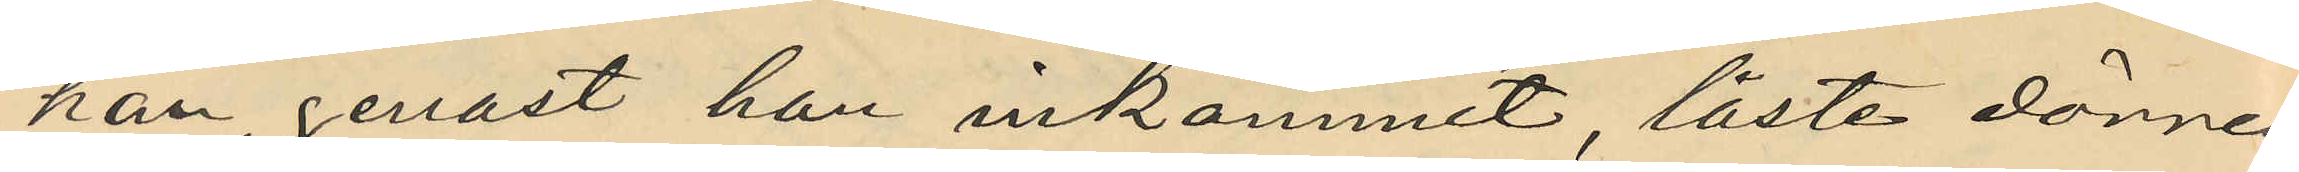han, genast han inkommit, låste dörrren
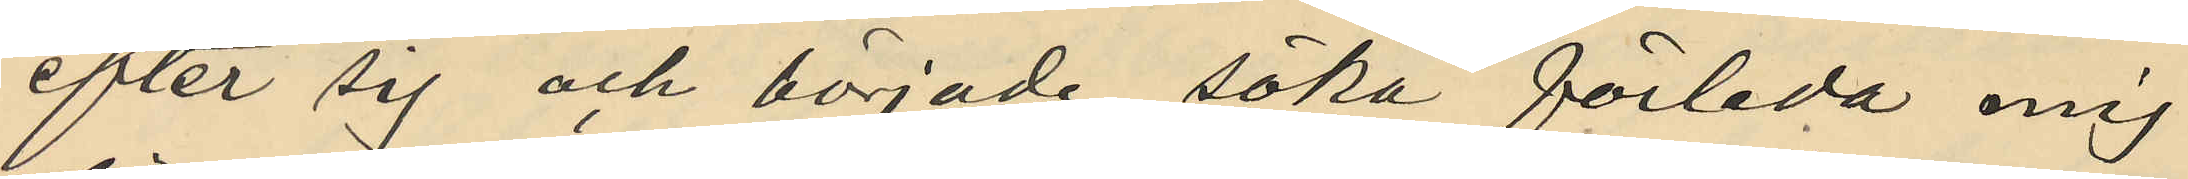efter sig och började söka förleda mig
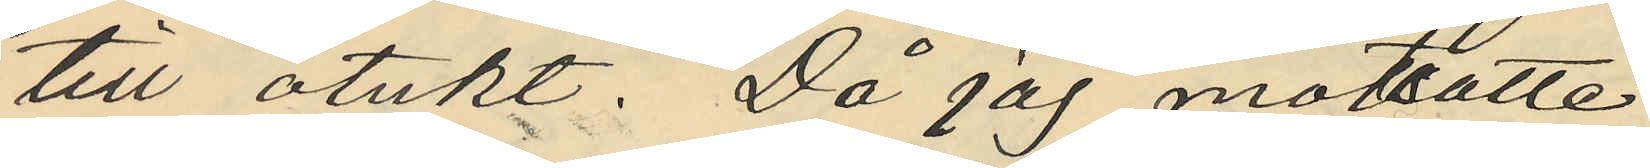till otukt. Då jag mottsatte
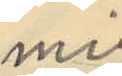mig
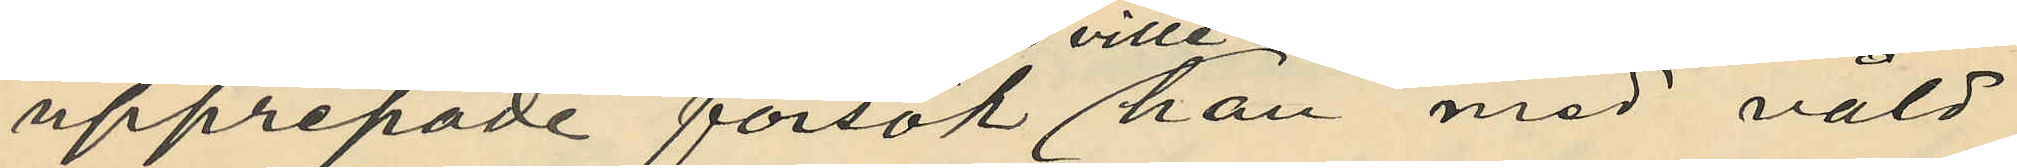upprepade försök ville han med våld
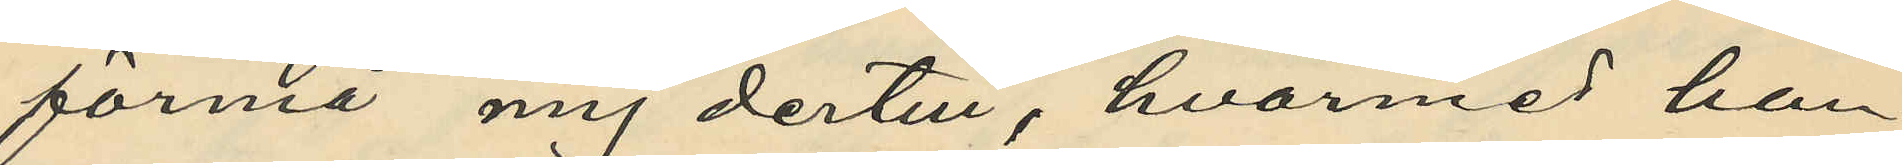förmå mig dertill, hvarmed han
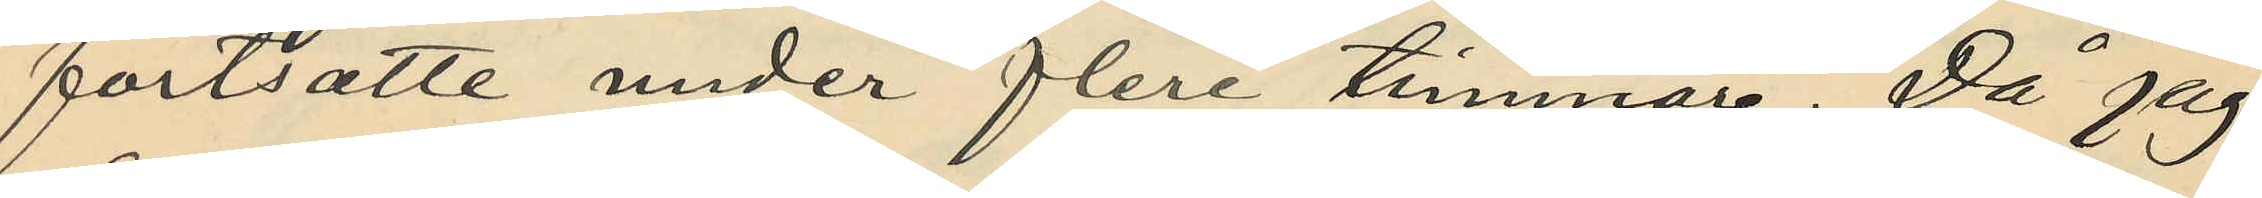fortsatte under flere timmar. Då jag
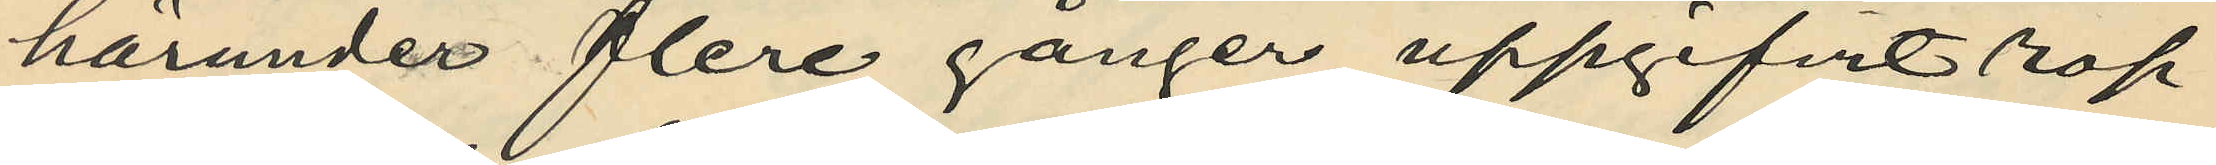härunder flere gånger uppgifvit rop
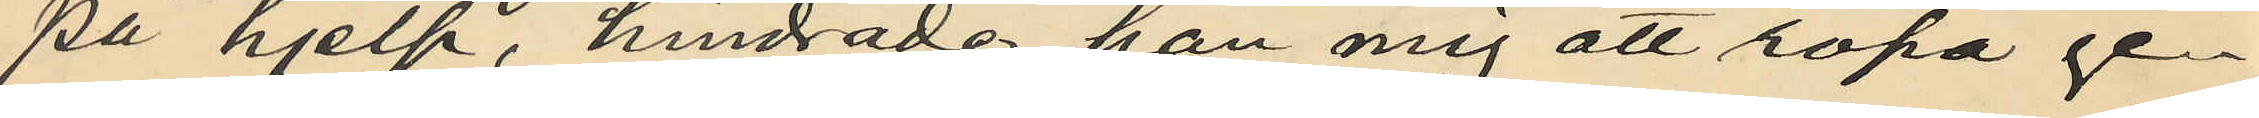på hjelp, hindrade han mig att ropa ge¬
